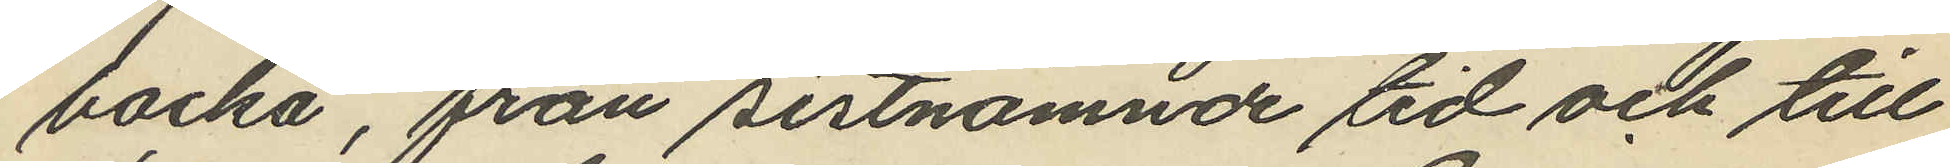backa, från sistnämnde tid och till
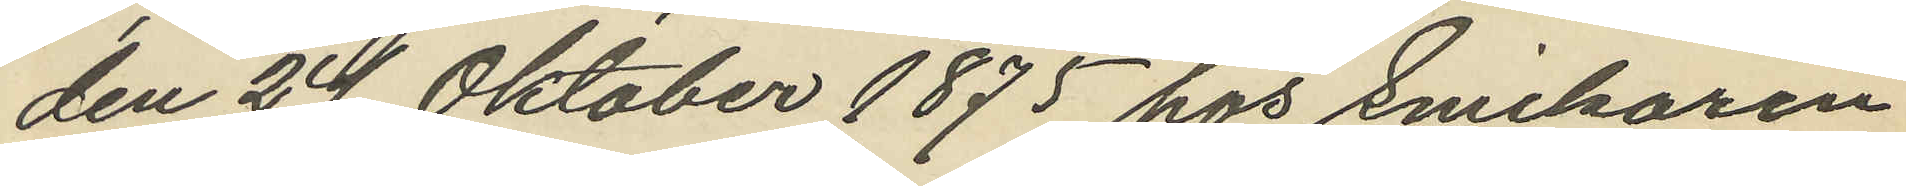den 24 Oktober 1875 hos Snickaren
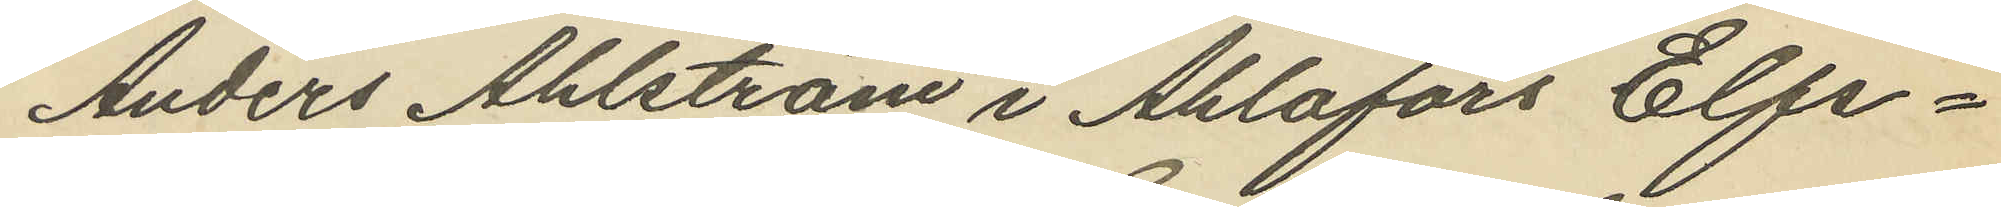Anders Ahlström i Ahlafors Elfs¬
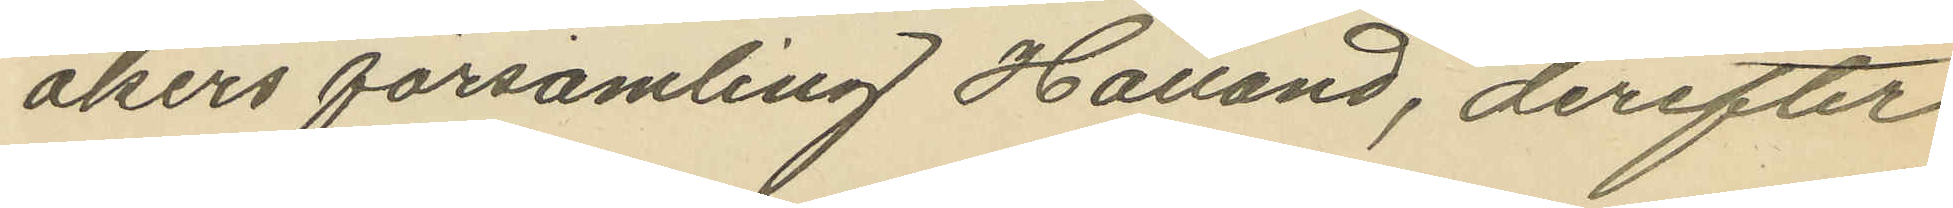åkers församling Halland, derefter
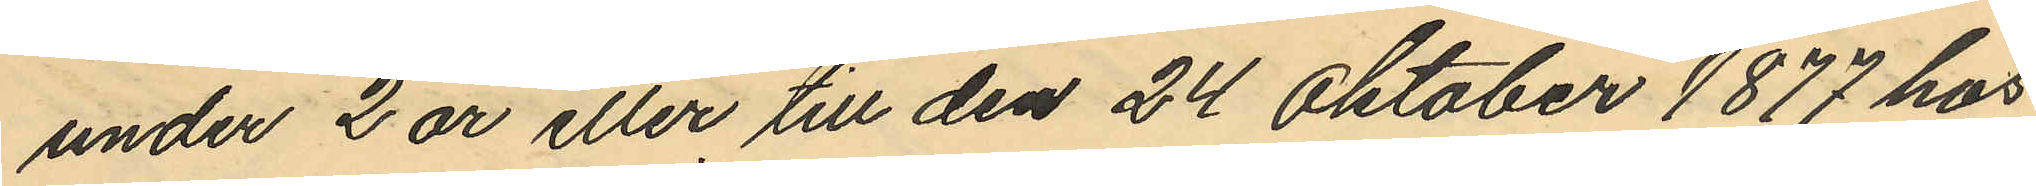under 2 år eller till den 24 Oktober 1877 hos
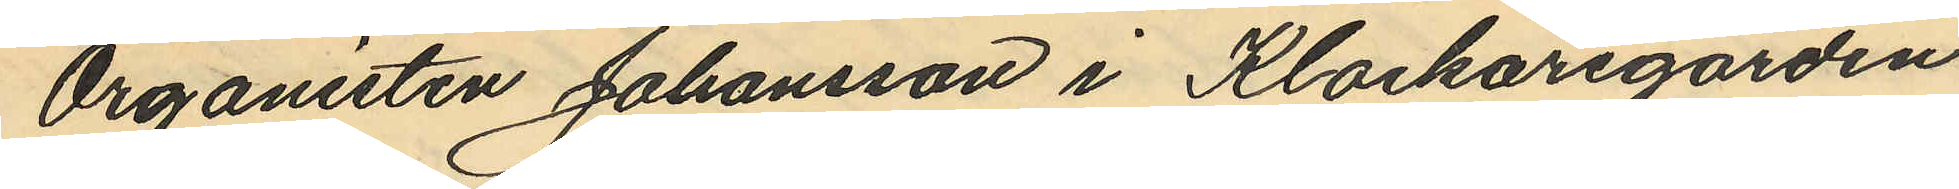Organisten Johansson i Klockaregården
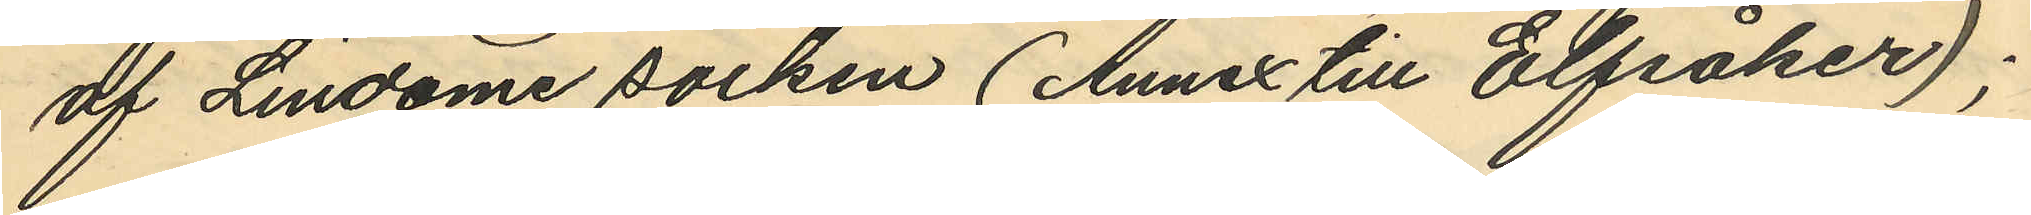af Lindome socken (Annex till Elfsåker);
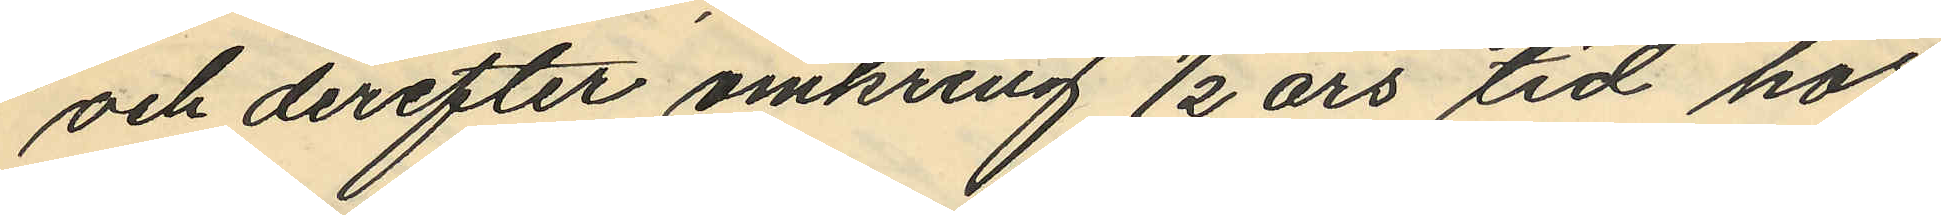och derefter omkring ½ års tid hos
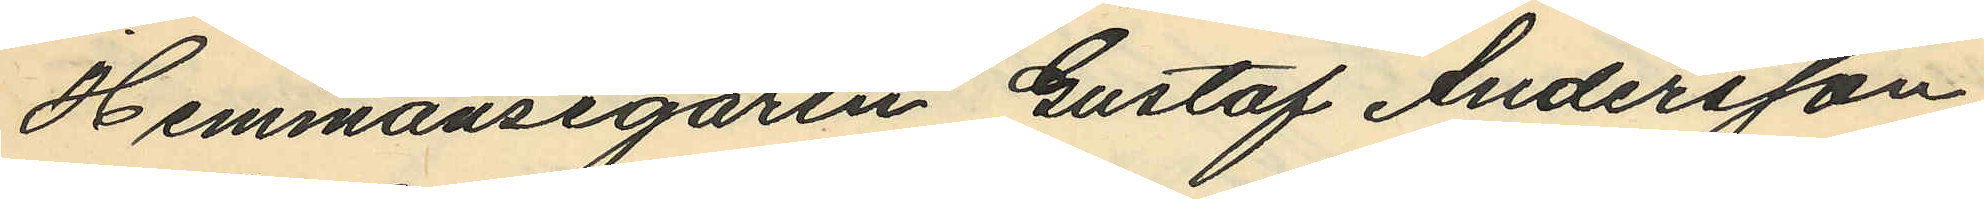Hemmansegaren Gustaf Andersson
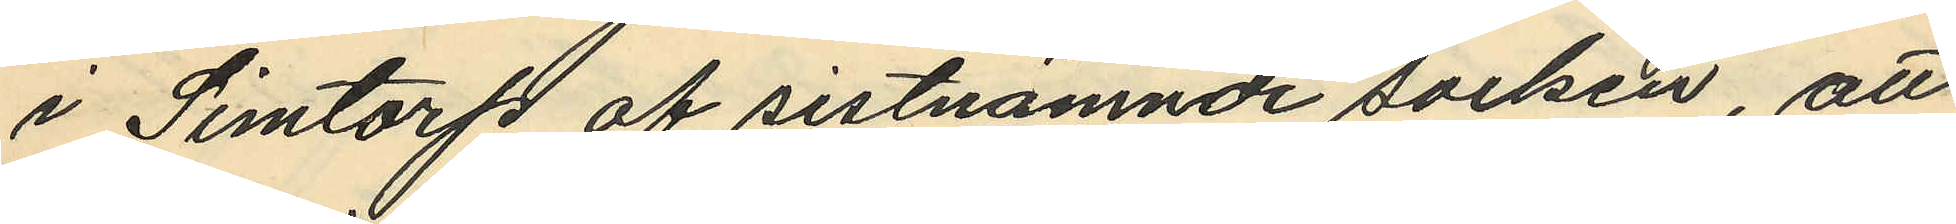i Simtorp af sistnämnde socken, att
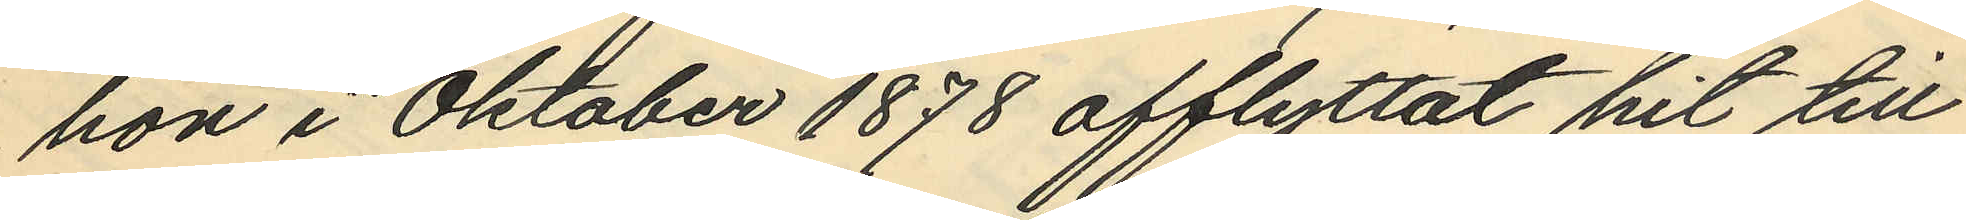hon i Oktober 1878 afflyttat hit till
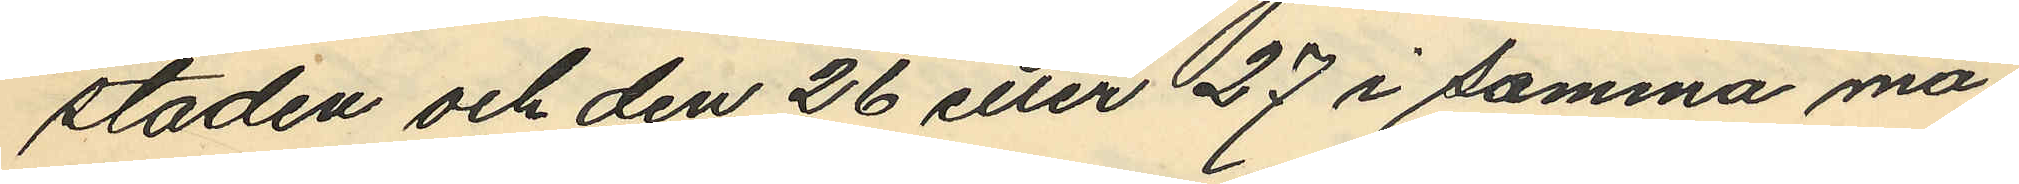staden och den 26 eller 27 i samma må¬
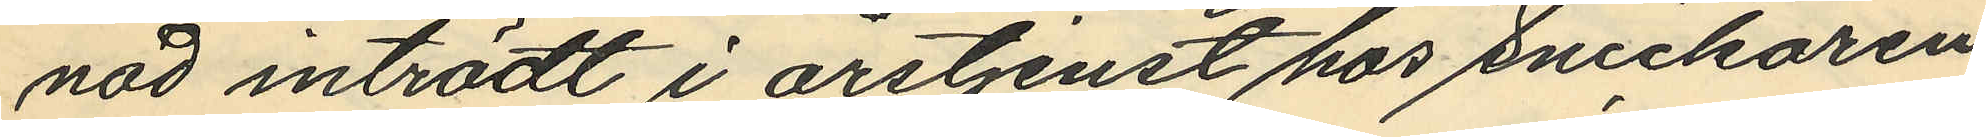nad inträdt i årstjenst hos Snickaren
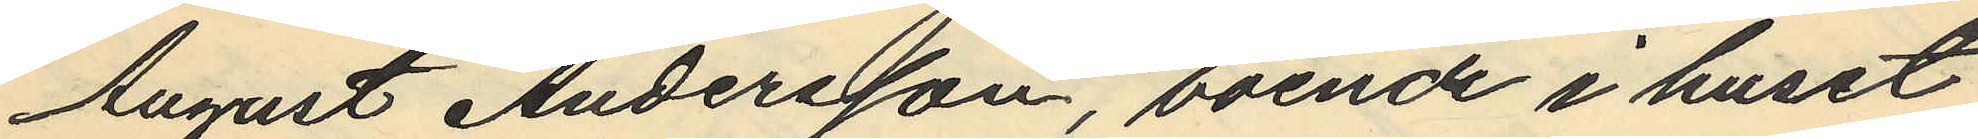August Andersson, boende i huset
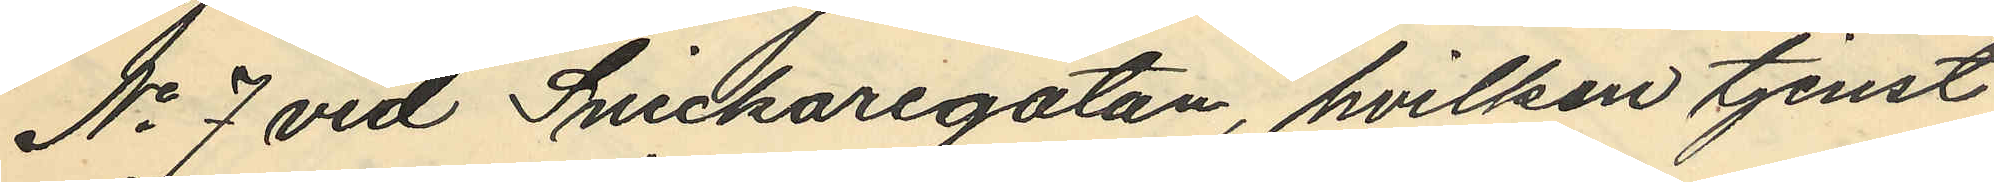No 7 vid Snickaregatan, hvilken tjenst
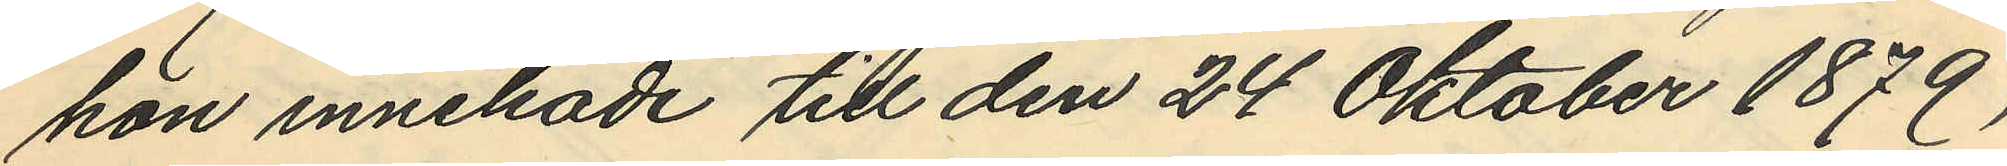hon innehade till den 24 Oktober 1879,
